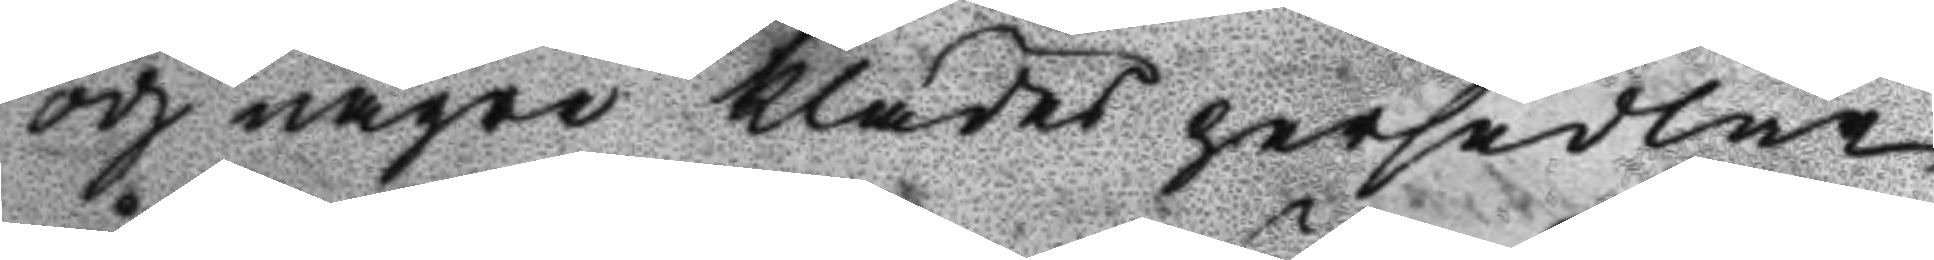och någre klädes persedlar
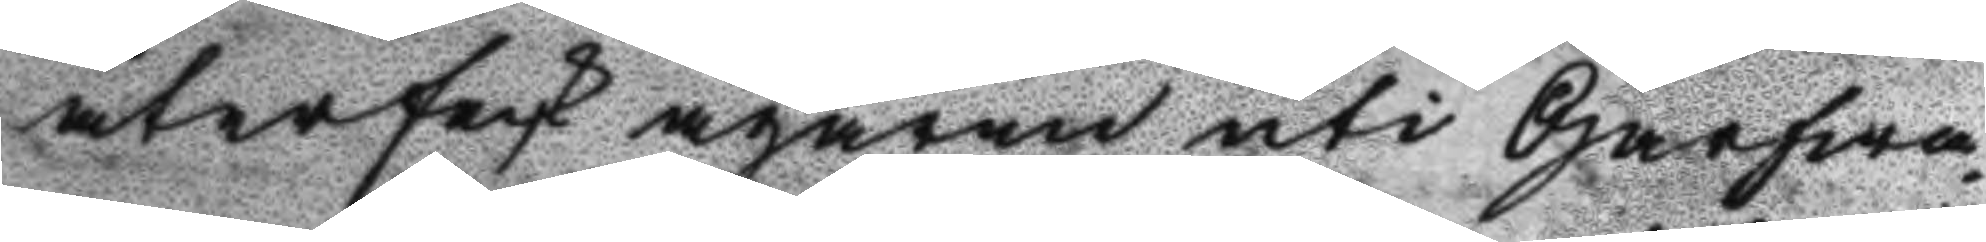återfeck ägaren uti Garfwa¬
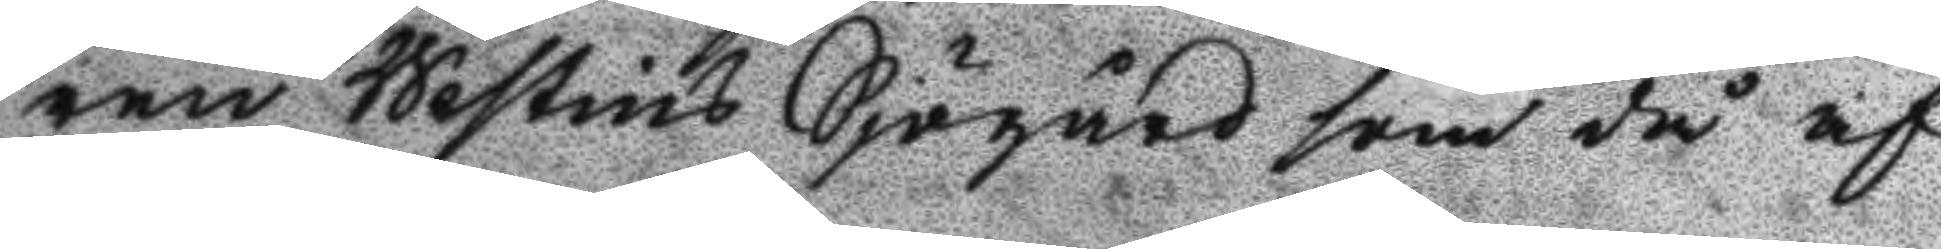ren Westins Sjögård som då af
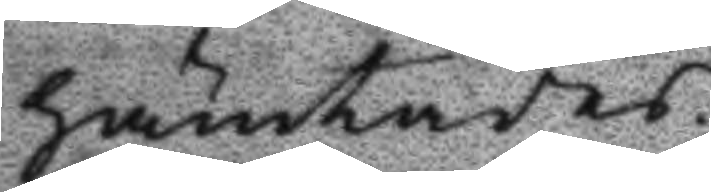hämtades.
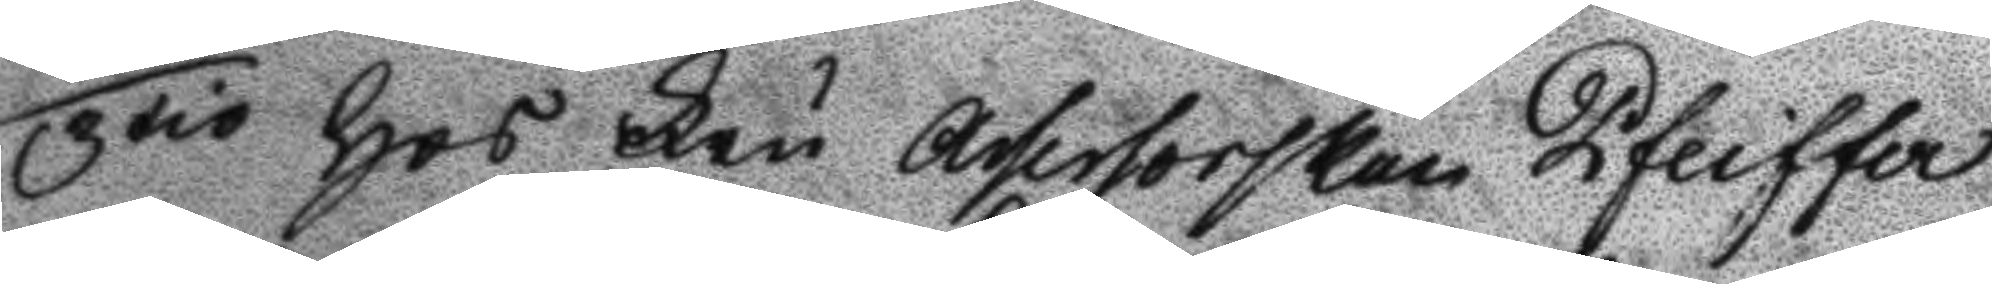3tio Hos Fru Assersorskan Pfeiffer
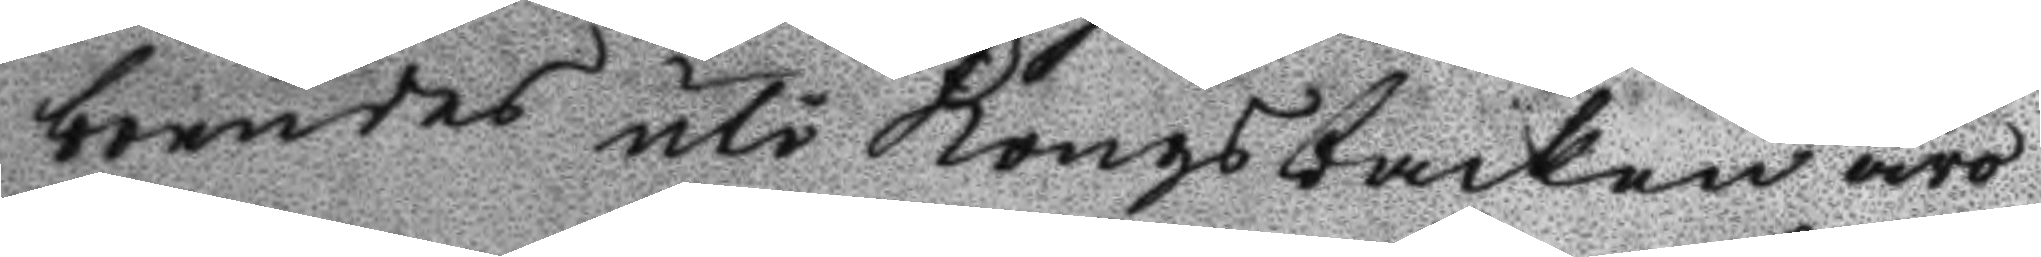boendes uti Kongsbacken äro
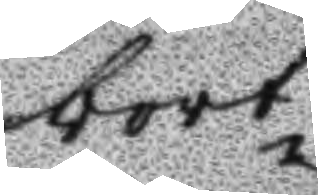bort¬
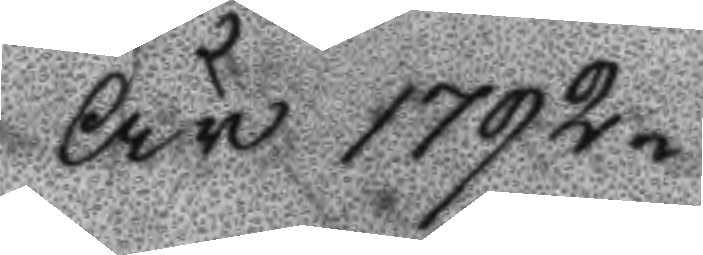År 1792
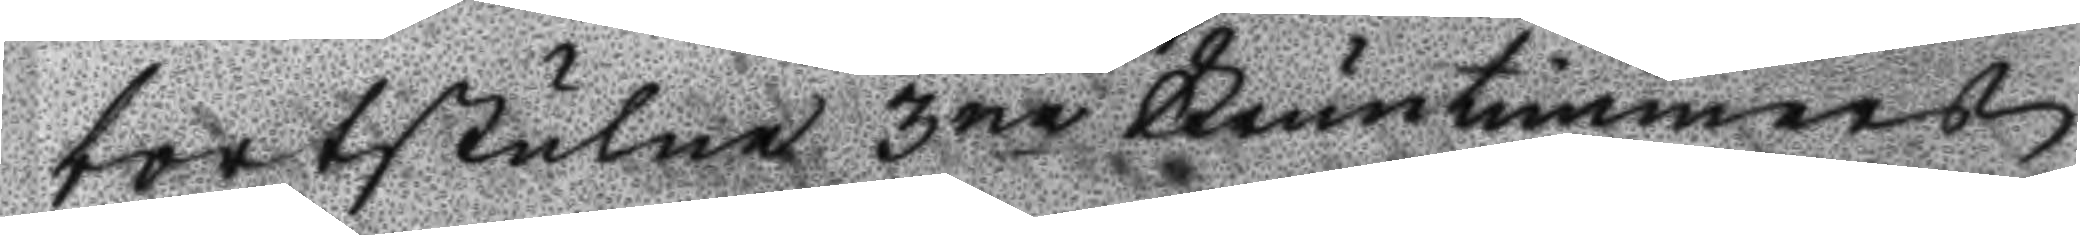bortstulne 3ne Fruntimmers
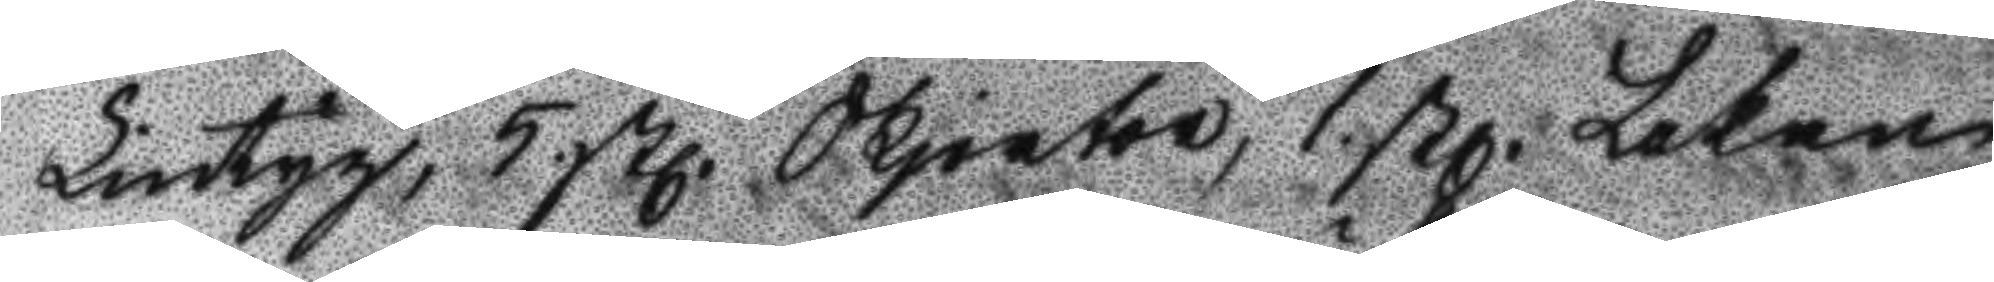Lintyg, 5 stl Skjortor, 1 stl Lakan
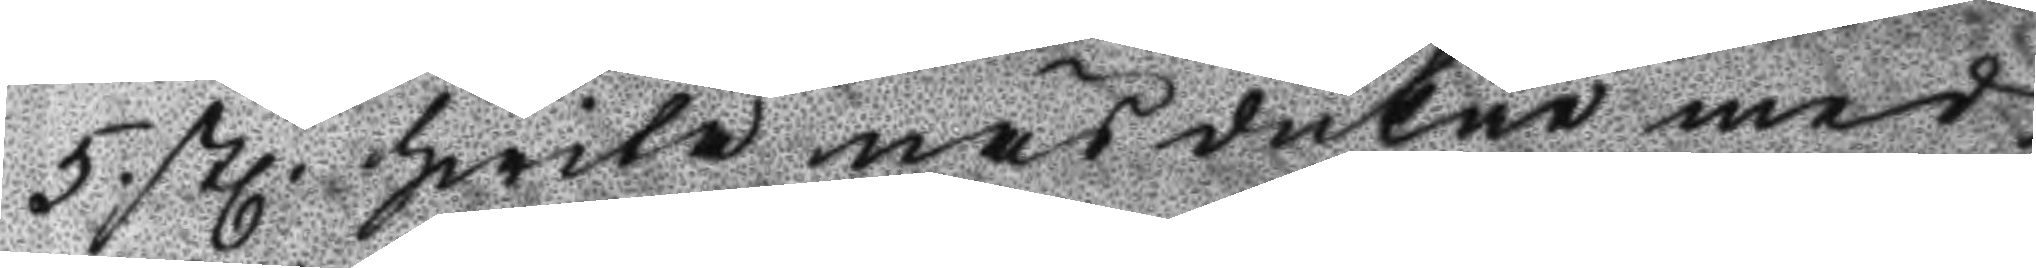5. stl. hwita näsdukar med
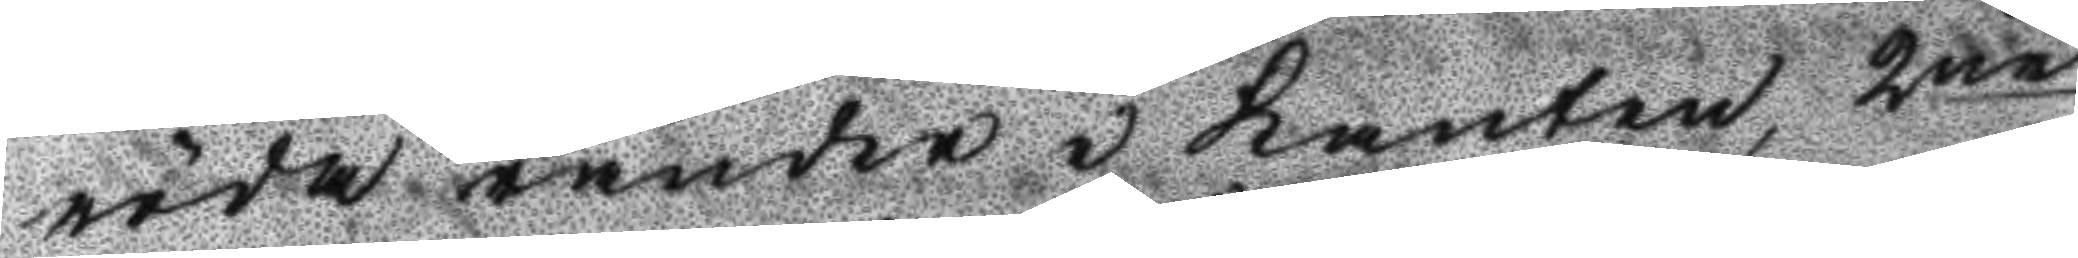röda ränder i kanten, 2ne
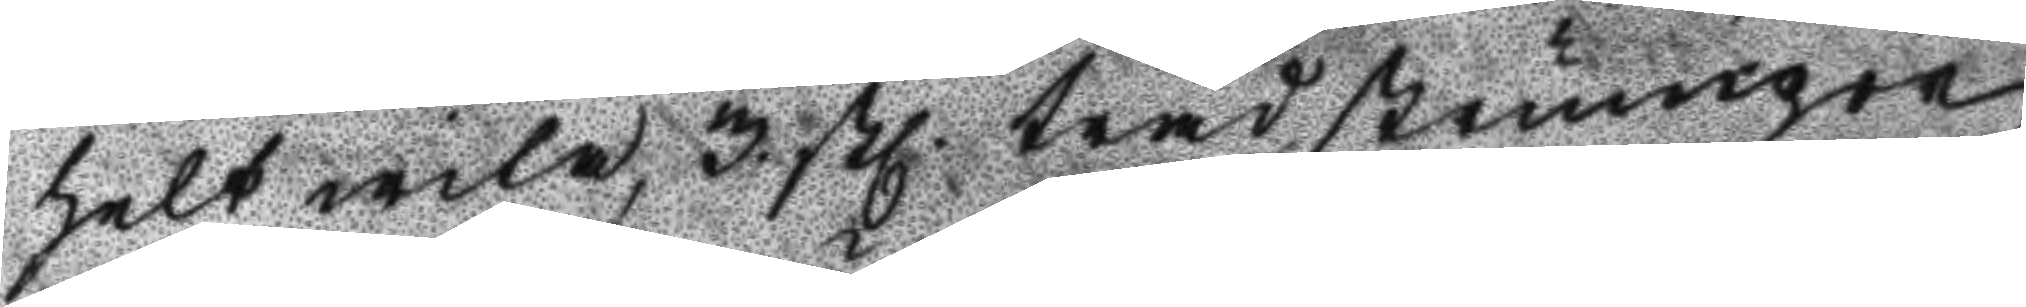helt wita, 3 stl. trådstrumpor
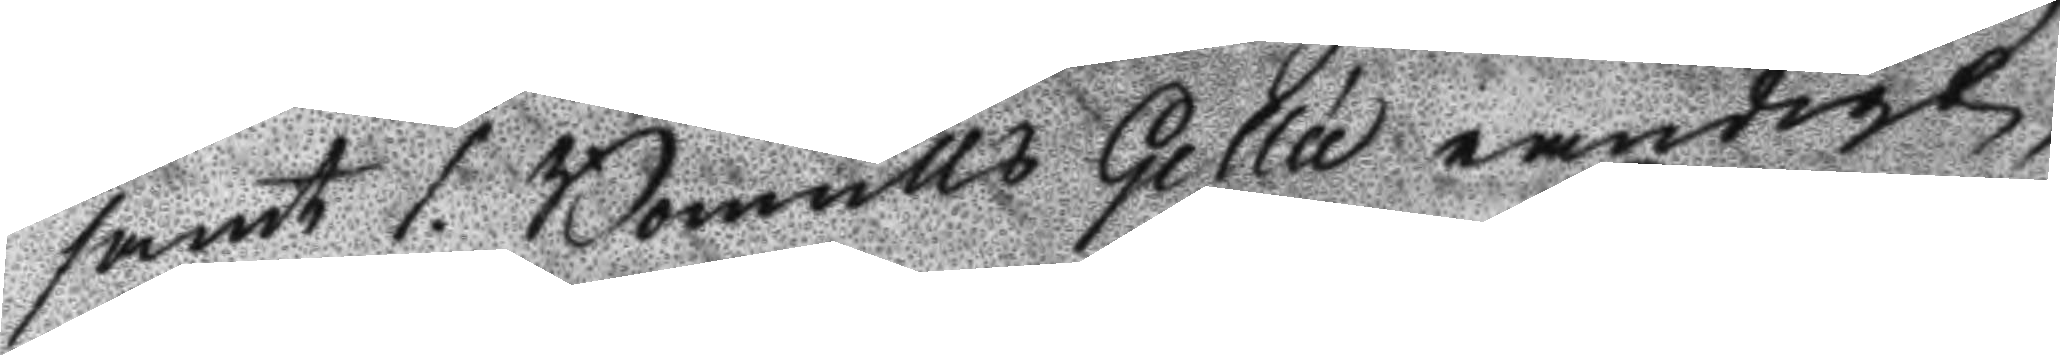smat 1 Bomulls Gellé randigt,
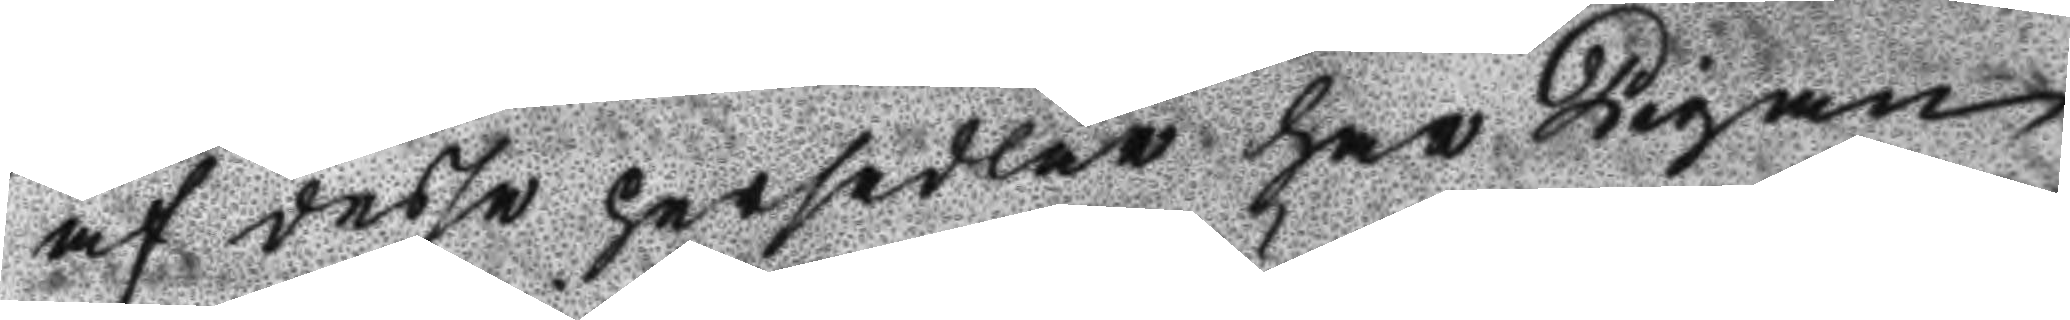af desse persedlar har Pigan
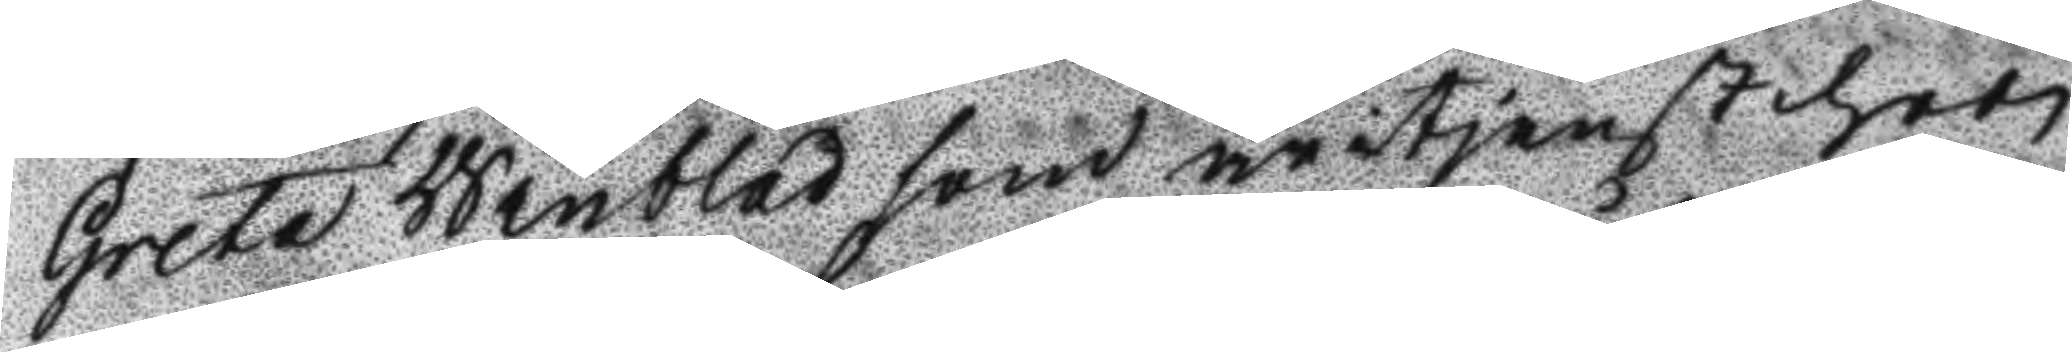Greta Winblad som är i tjenst hoos
